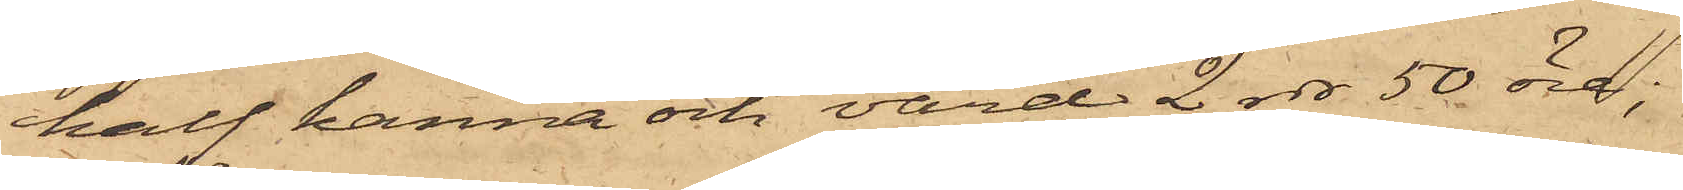half kanna och värd 2 rdr 50 öre;
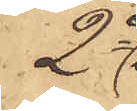2o
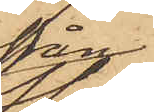från
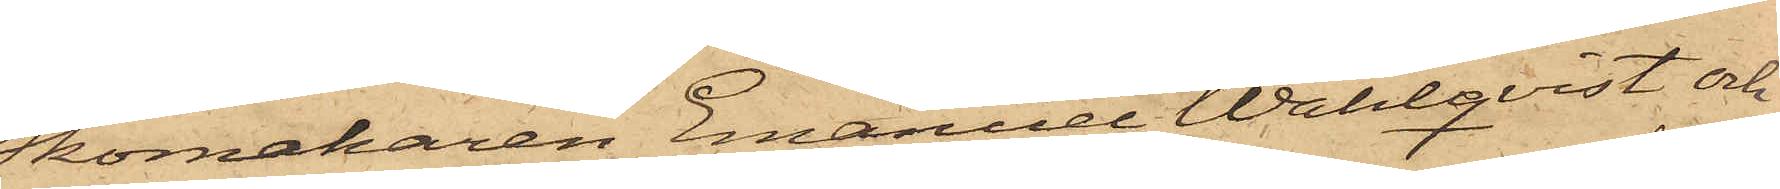Skomakaren Emanuel Wahlqvist och
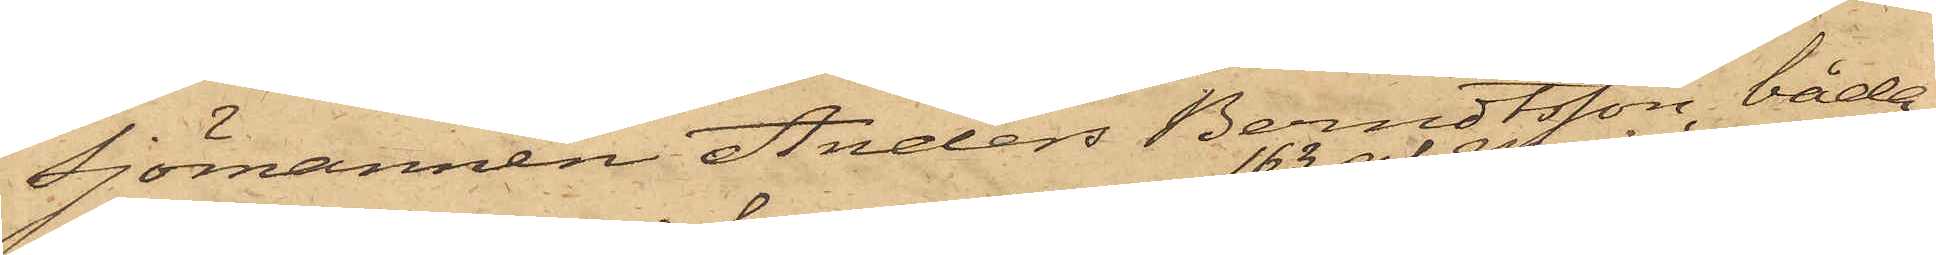Sjömannen Anders Berndtsson, båda
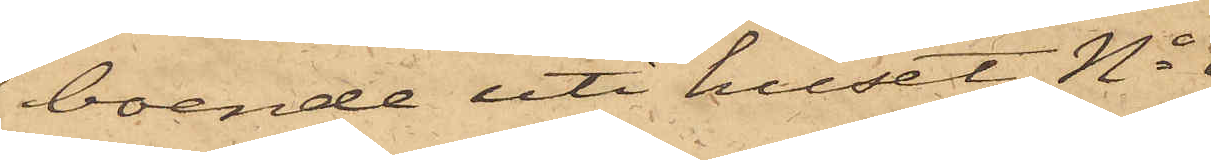boende uti huset No 
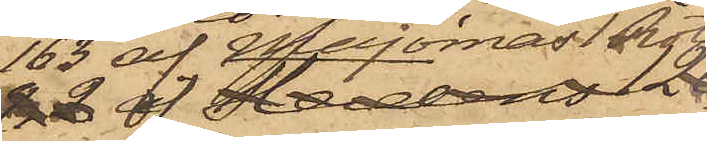163 af Majornas 1 Rote,
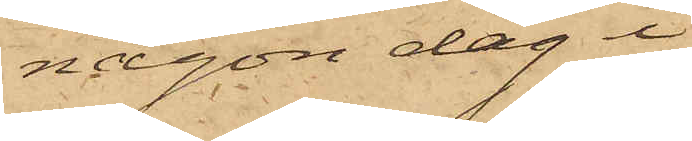någon dag i
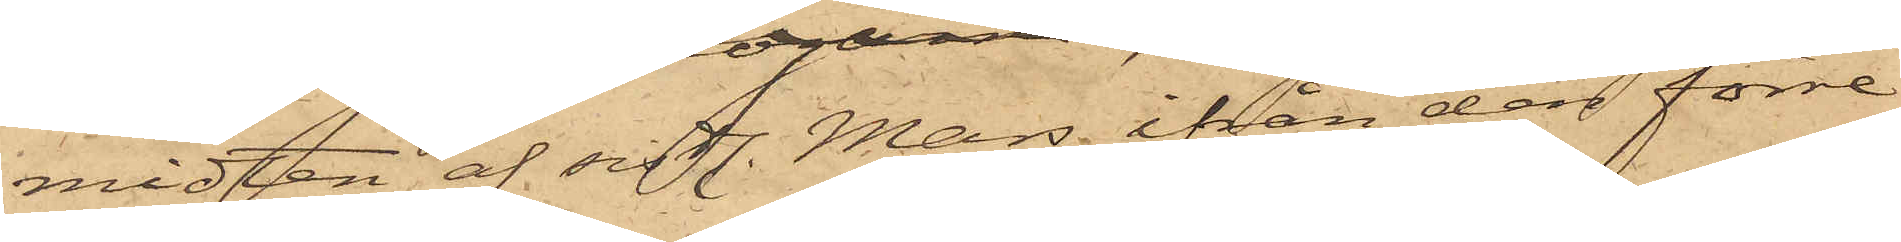midten af sistl. Mars ifrån den förre
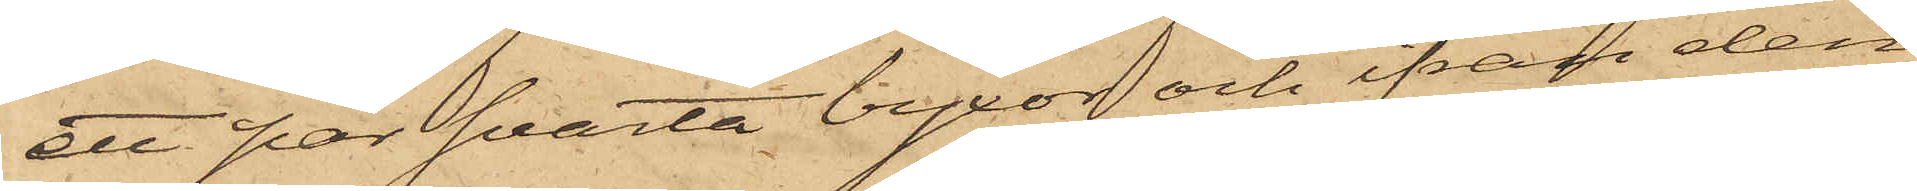ett par svarta byxor och ifrån den
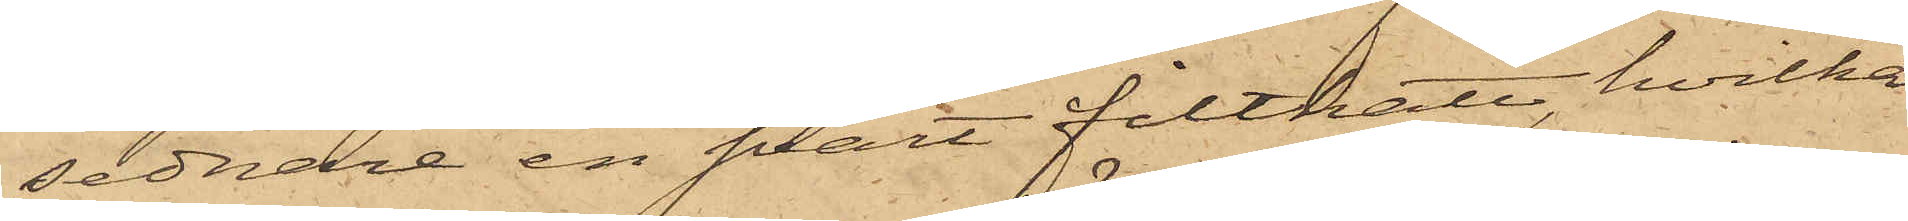sednare en svart filthatt, hvilka
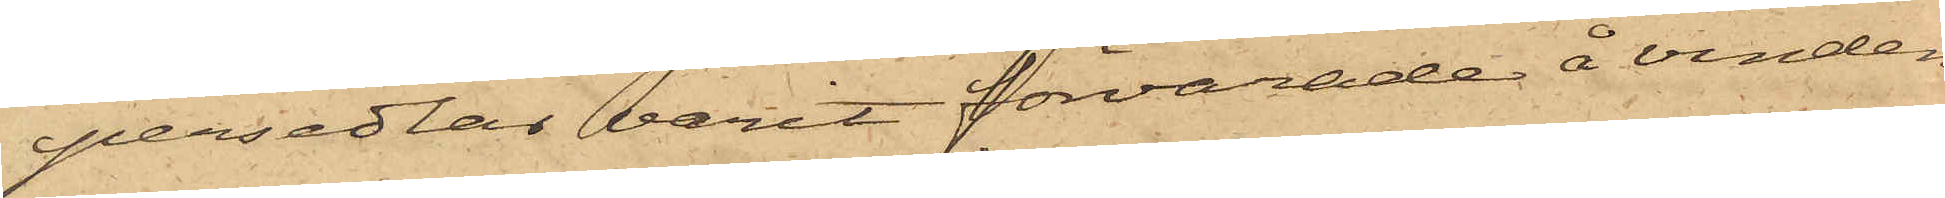persedlar varit förvarade å vinden
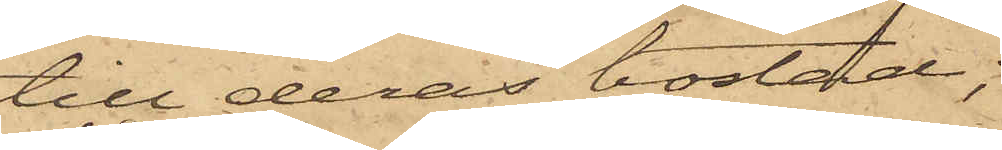till deras bostad;
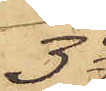3o
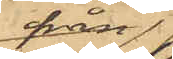från
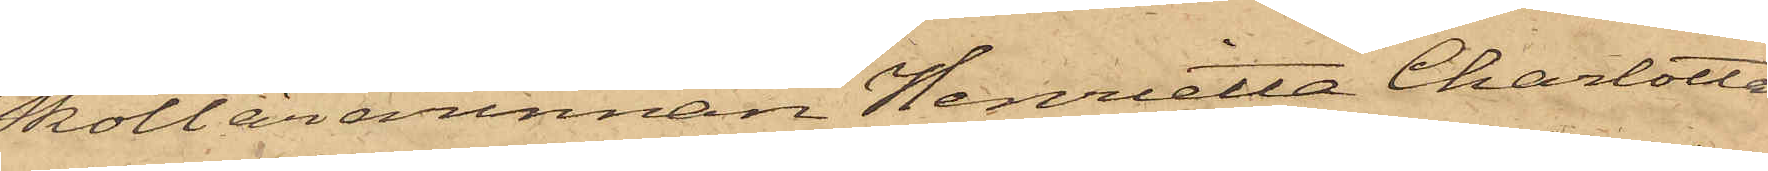Skollärarinnan Henrietta Charlotta
